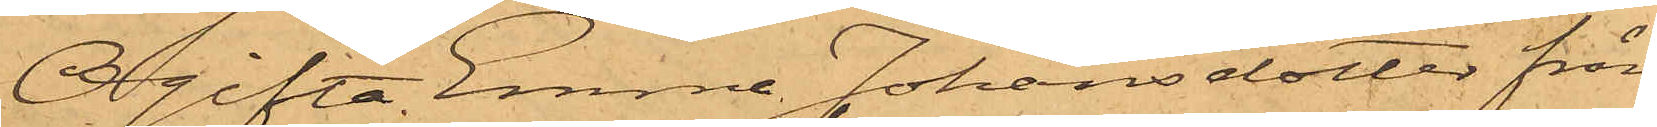Ogifta Emma Johansdotter från
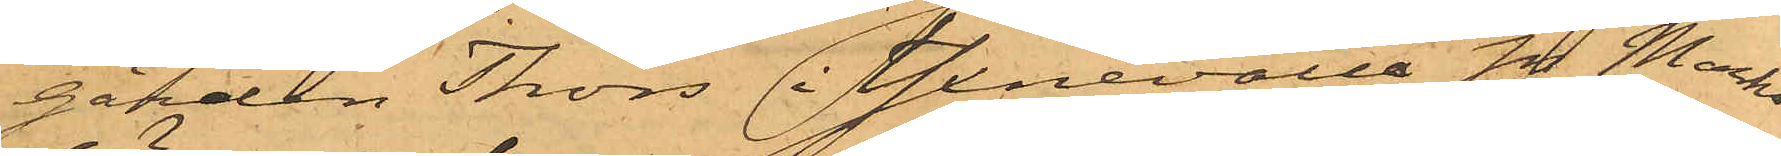gården Thors i Yxnevalla Sn Marks
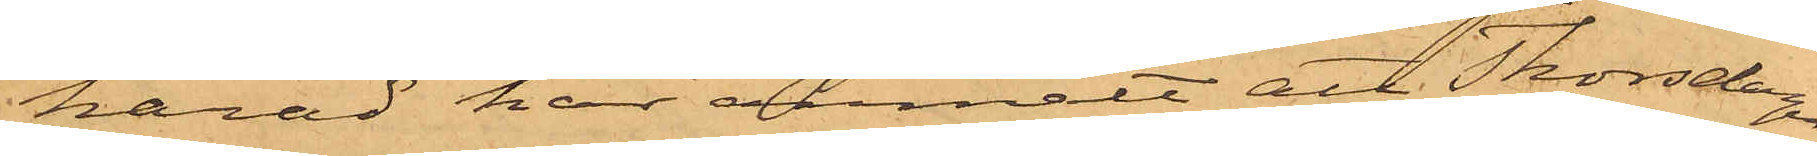härad har anmält att Thorsdagen
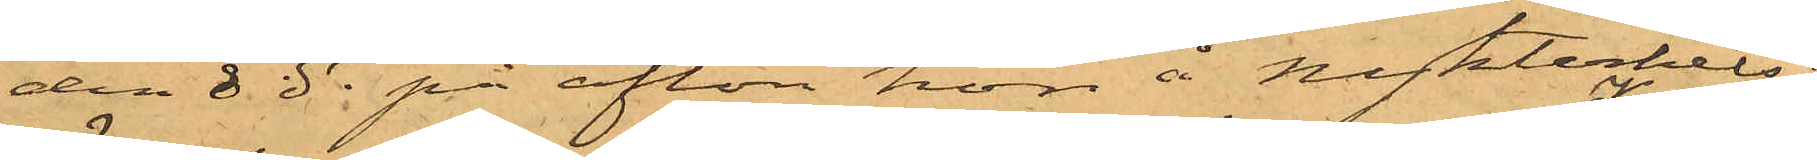den 8 ds på afton hon å Nykterhets¬
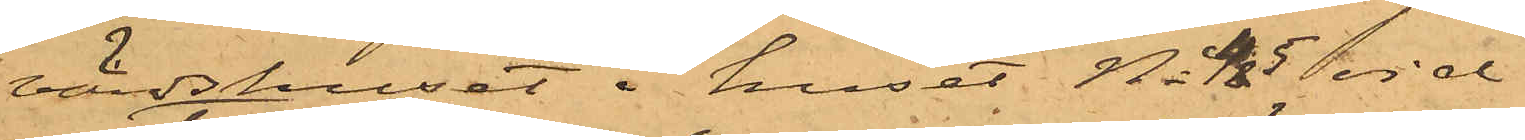värdshuset i huset No 45 vid
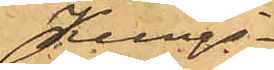Kungs¬
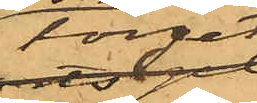torget
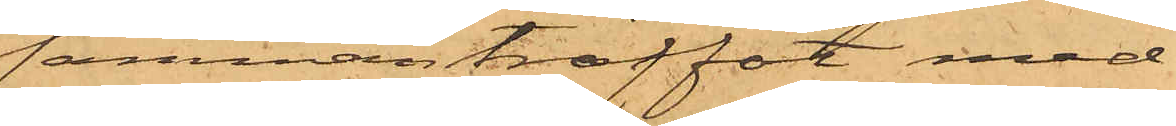sammanträffat med
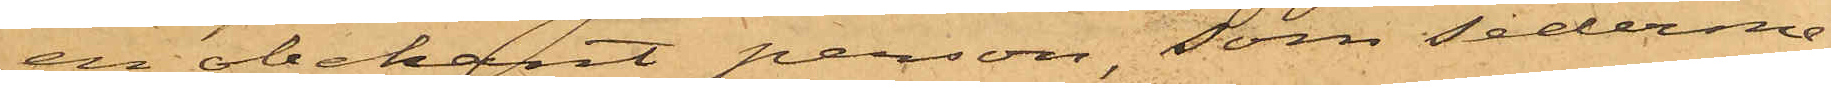en obekant person, som sederme¬
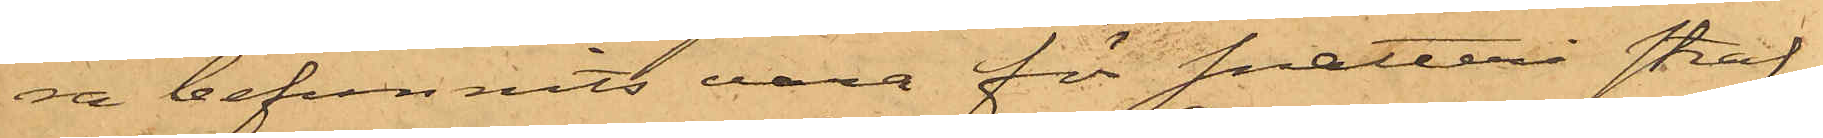ra befunnits vara för snatteri straf¬
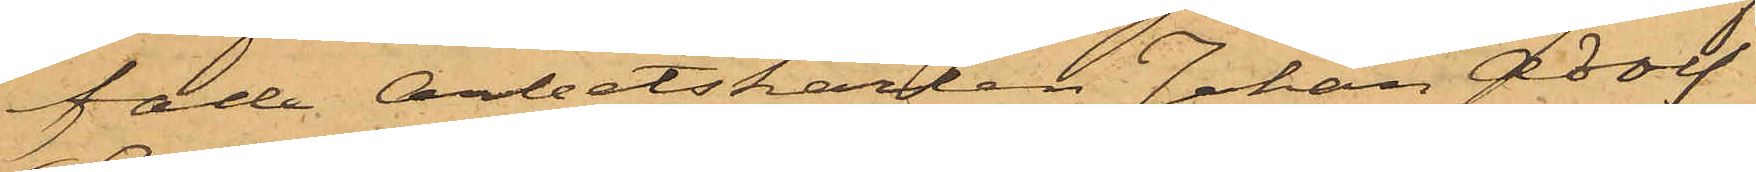fade Arbetskarlen Johan Adolf
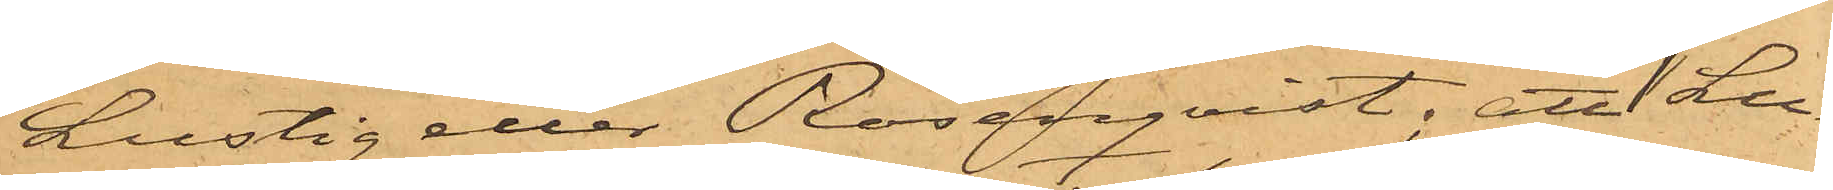Lustig eller Rosenqvist; att Lu¬
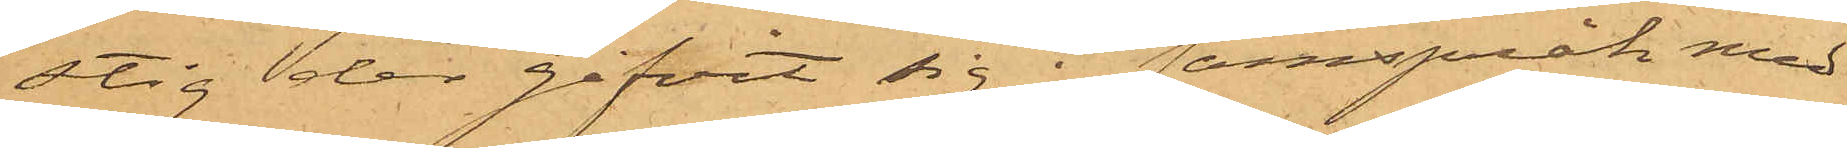stig der gifvit sig i samspråk med
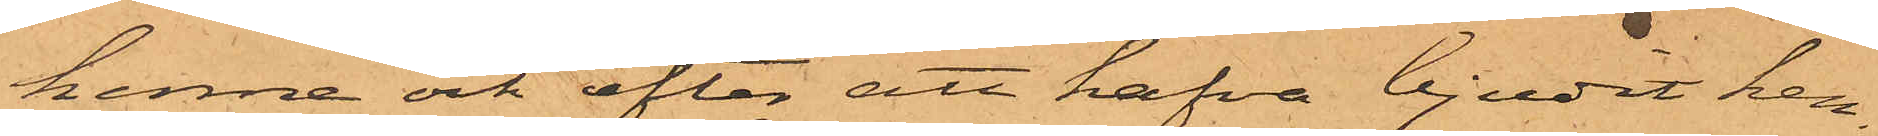henne och efter att hafva bjudit hen¬
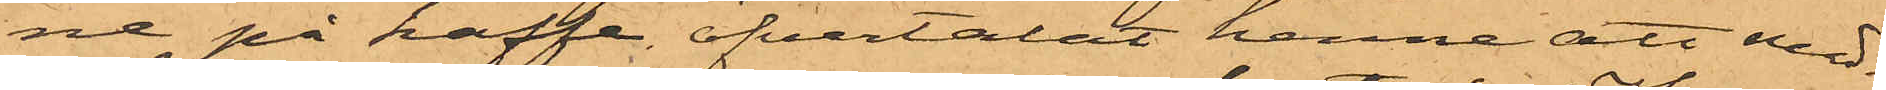ne på kaffe öfvertalat henne att med¬
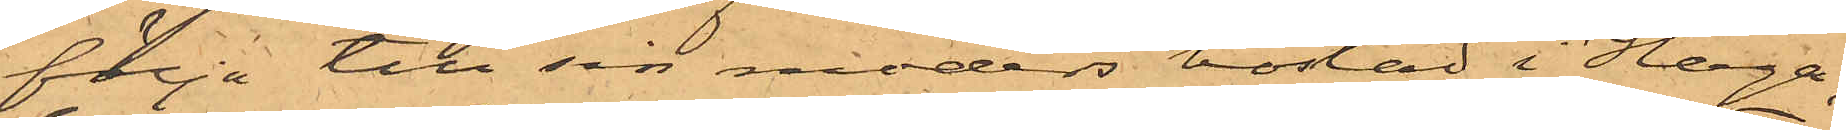följa till sin moders bostad i Haga,
